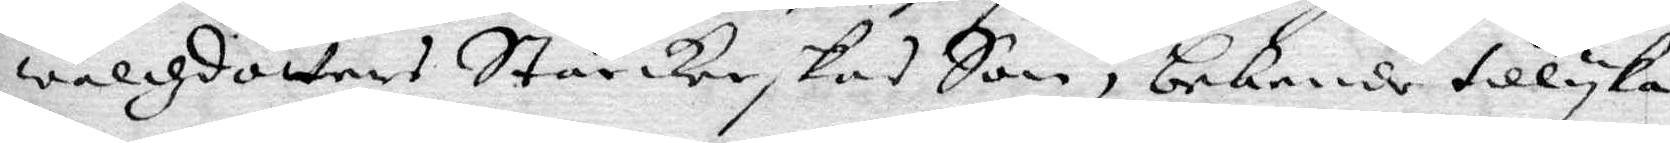waldzdotters Stärckeskas Son, bekende tillyka
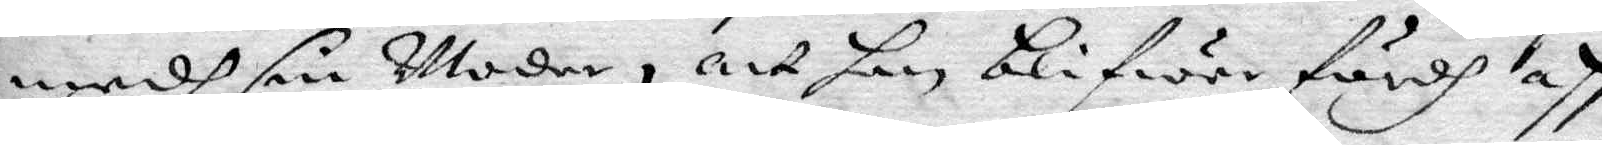medh sin Moder, att han blifwer fördh aff
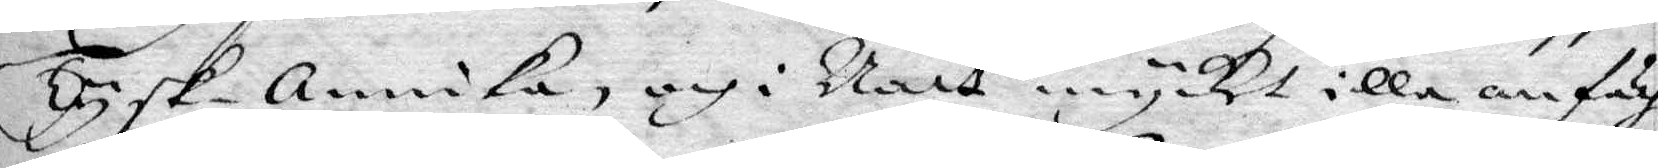Tysk-annika, och i Natt mycket illa anfäch¬
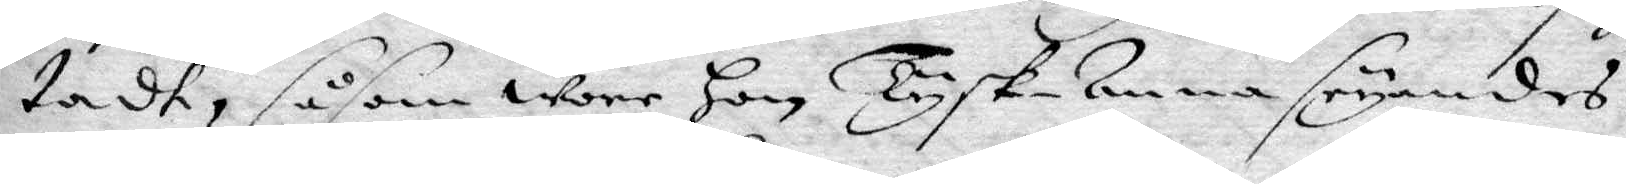tadt, såsom wore Tysk-Anna seyandes:
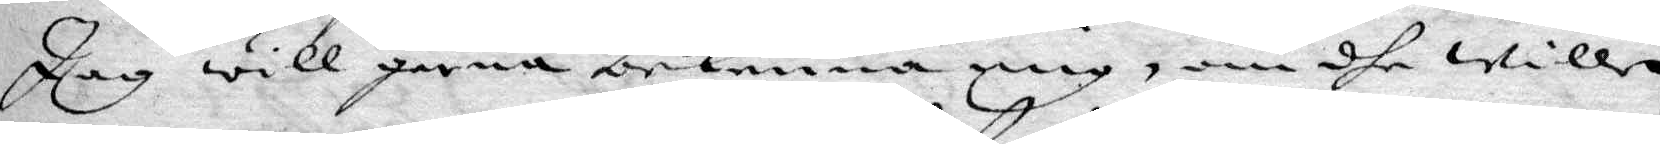Jag will gerna bekenna mig, om dhe wille
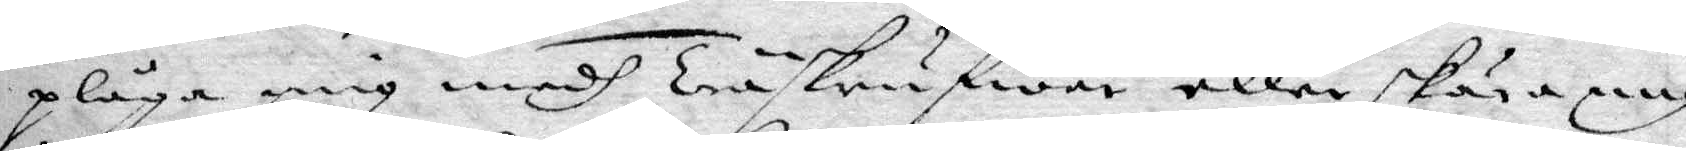plåga mig medh Träskrufwar eller skära mig
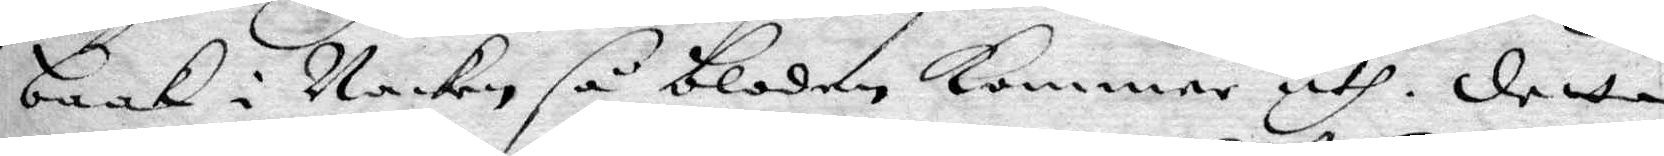baak i Nacken så bloden Kommer uth. detta
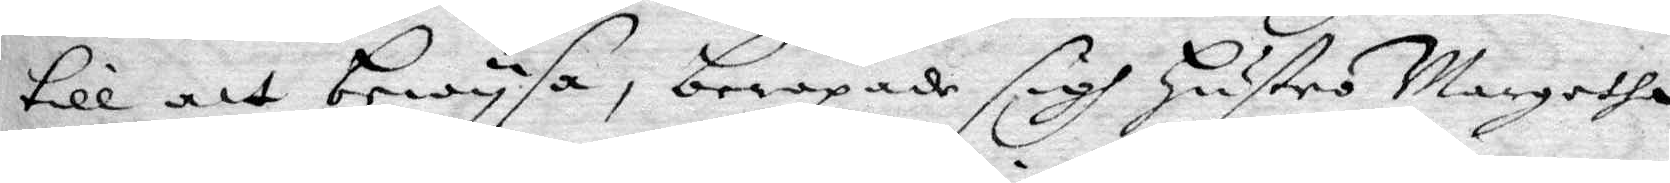till att bewysa, beropade sigh Hustru margetha
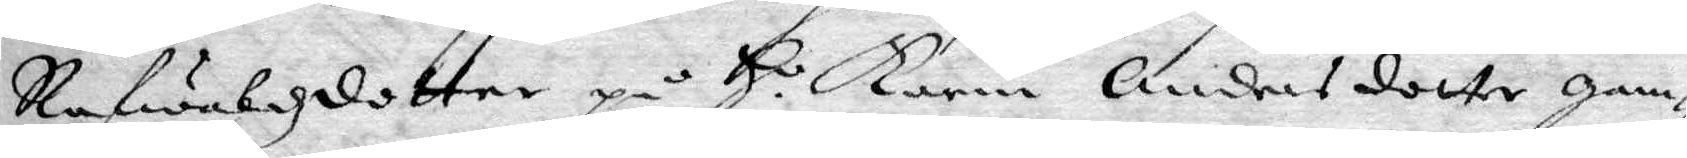Rafwalzdotter på H. Karin Andersdotter gam¬
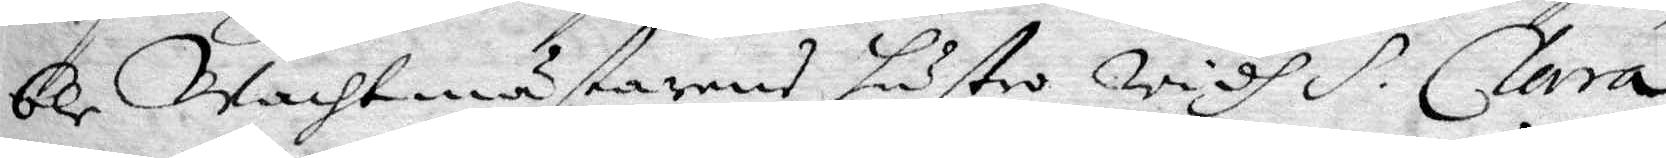ble Wachtmästarens hustro widh H. Clara
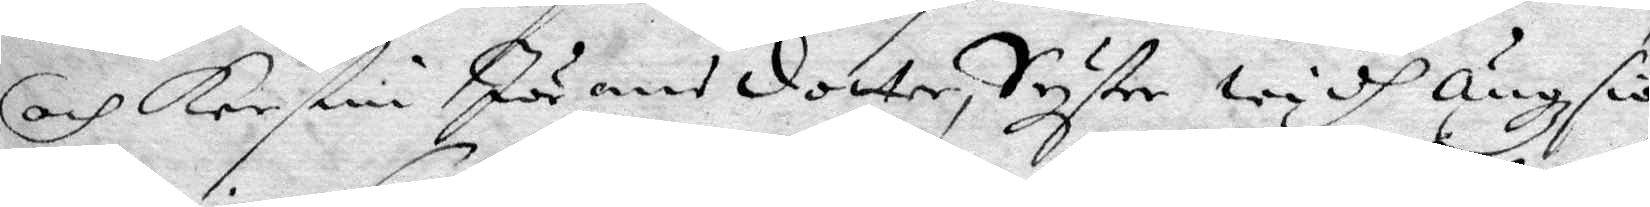och Kerstin Jörandotter, Syster widh Ängsiö
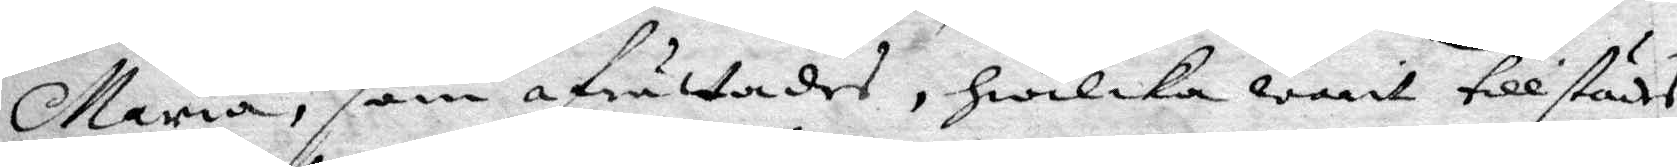Maria, som afrättades, hwilka wart tillstädes,
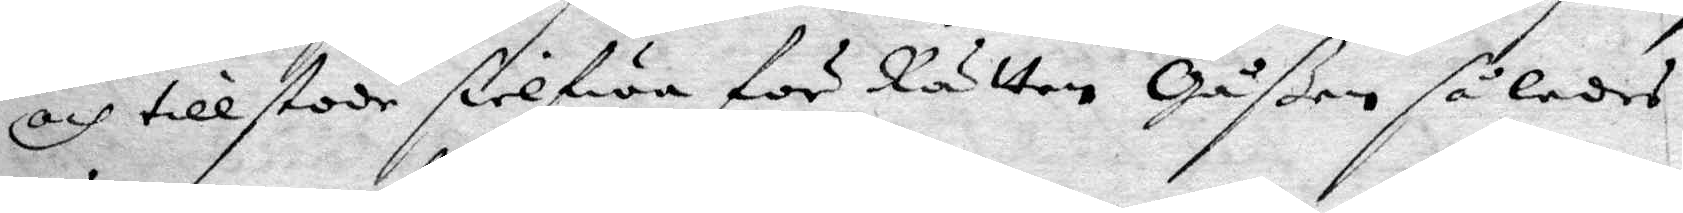och tillstode sielfwa för Rätten Gåßen således
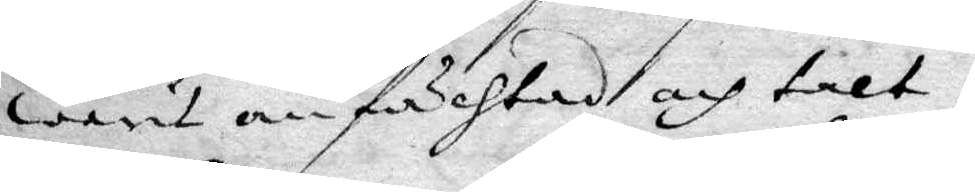warit anfächtadt och talt.
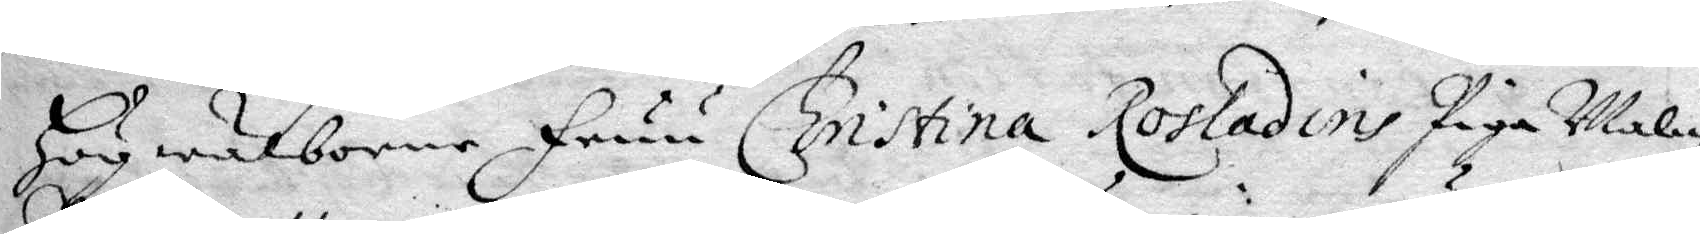Hägwälborne Fruu Christina Rosladins Piga malin
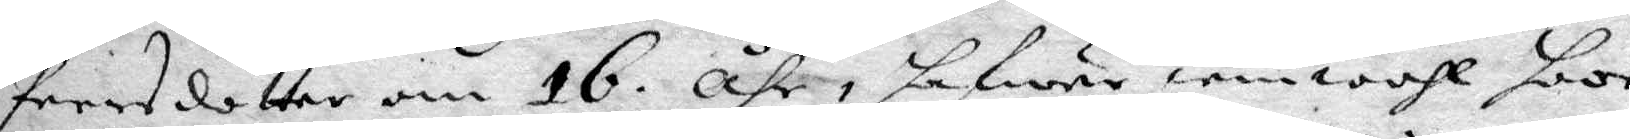Peersdotter om 16 åhr, hafwer iemwähl hoos
